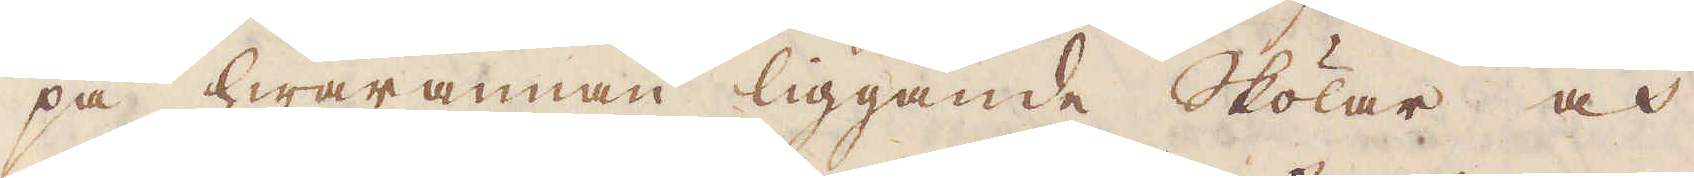på hwarannan liggande Skölar och
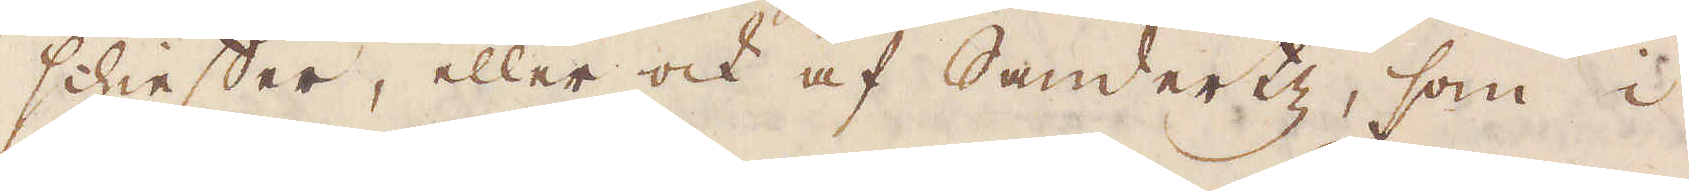schieffer, eller och af Sandertz, som i
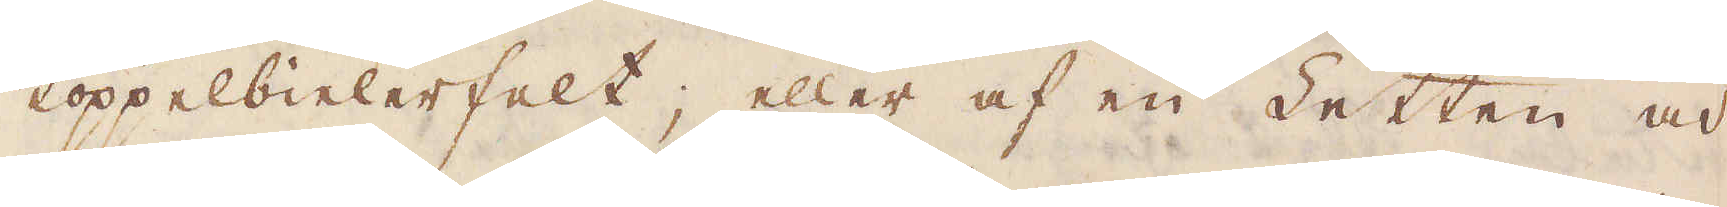koppelbielerfelt; eller af en Letten och
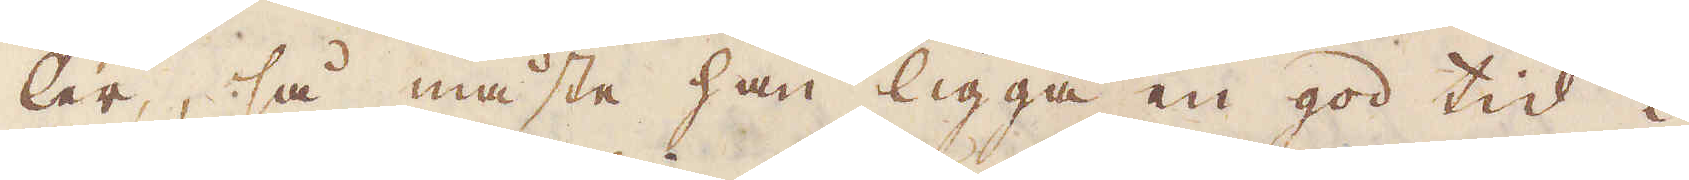ler, så måste han ligga en god tid i
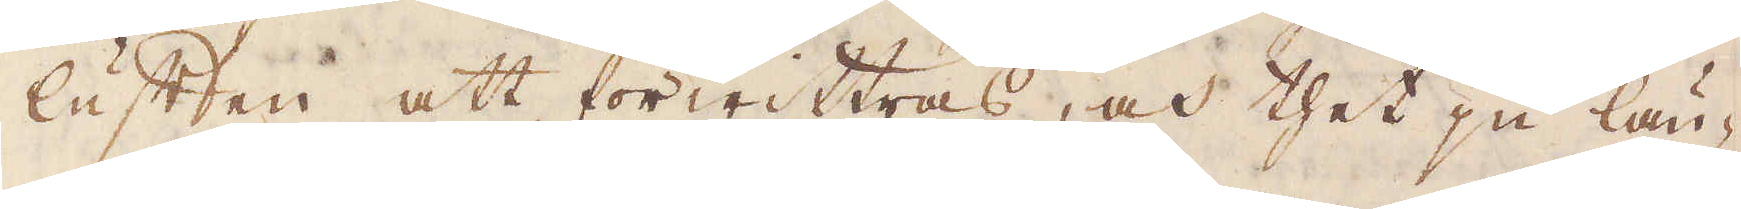luften att förwittras, och thet ju län-
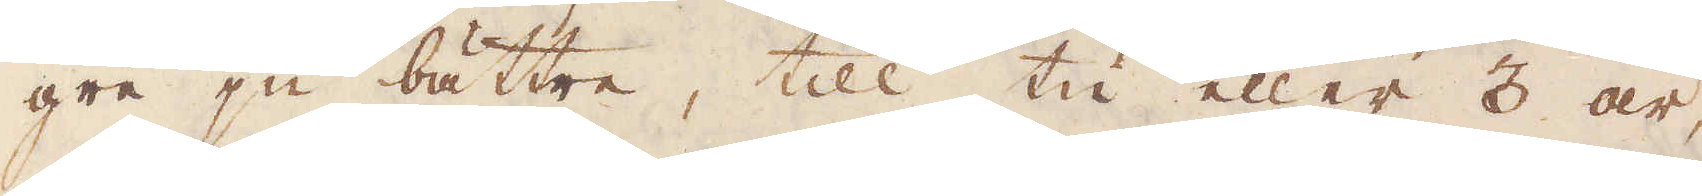gre ju bättre, till tu eller 3 år,
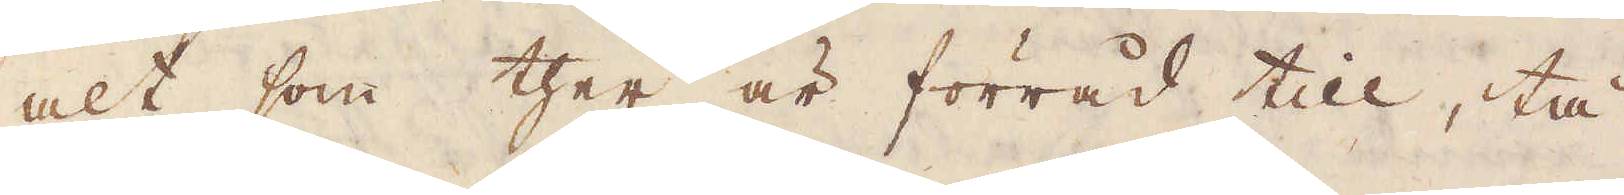alt som ther är förråd till, tå
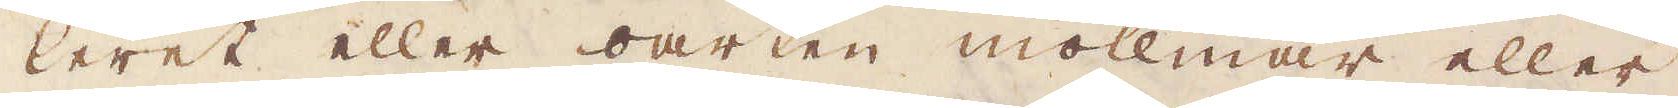leret eller oarten mollmar eller
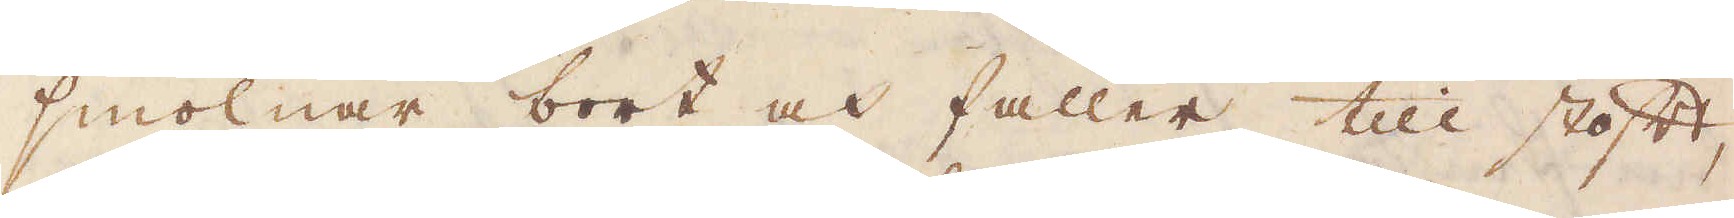smolnar bort och faller till stoft,
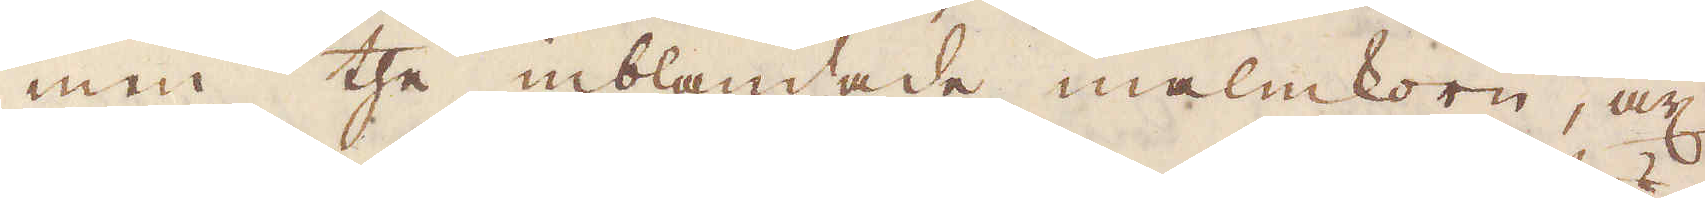men the inblandade malmkorn, och
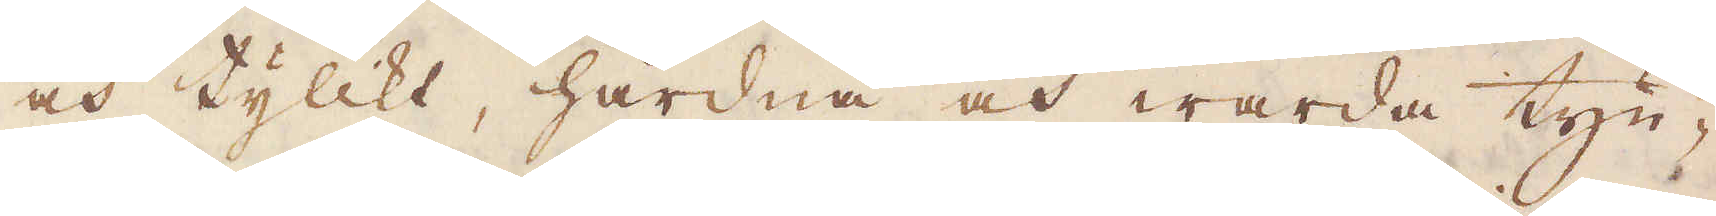och tylikt, hårdna och warda tyn-
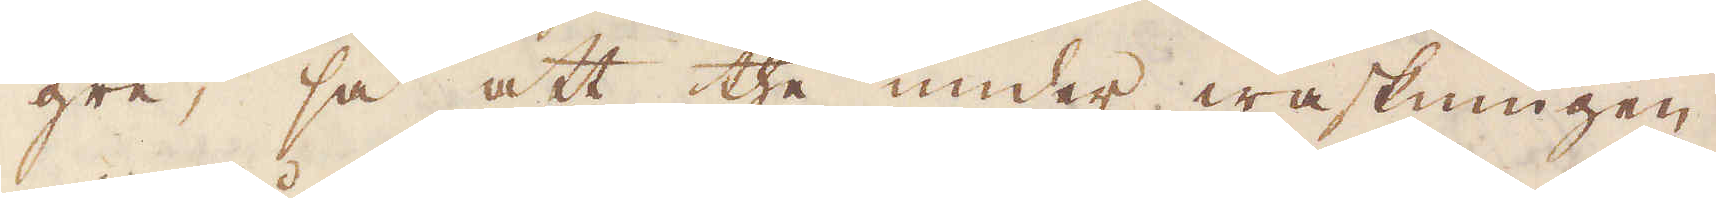gre, så att the under waskningen
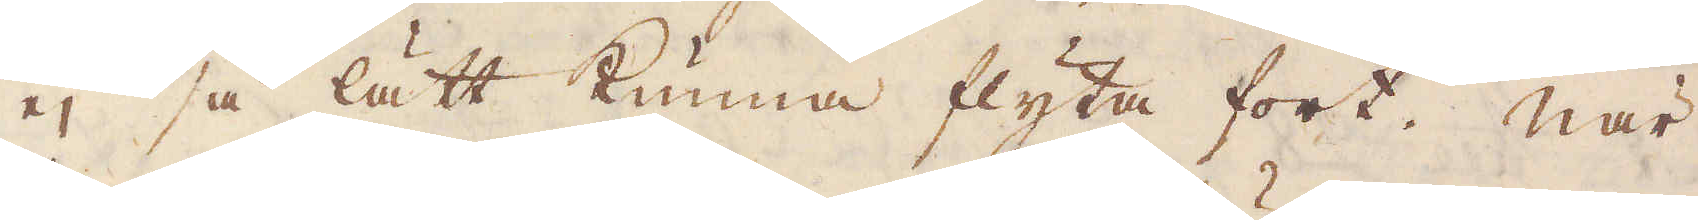ej så lätt kunna flyta fort. När
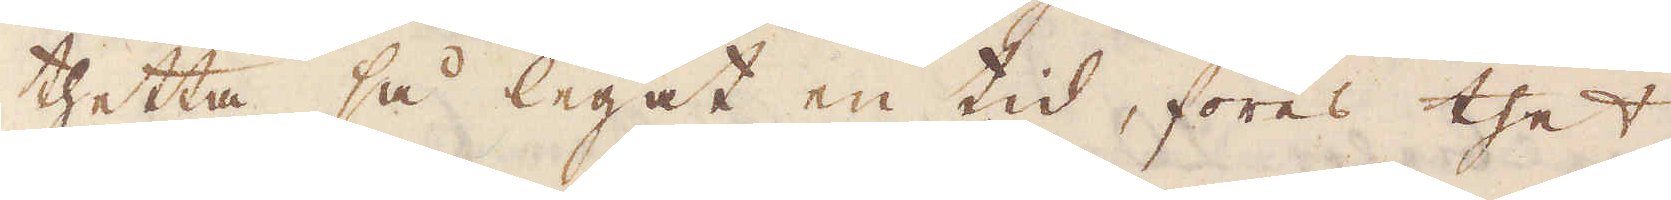thetta så legat en tid, föres thet
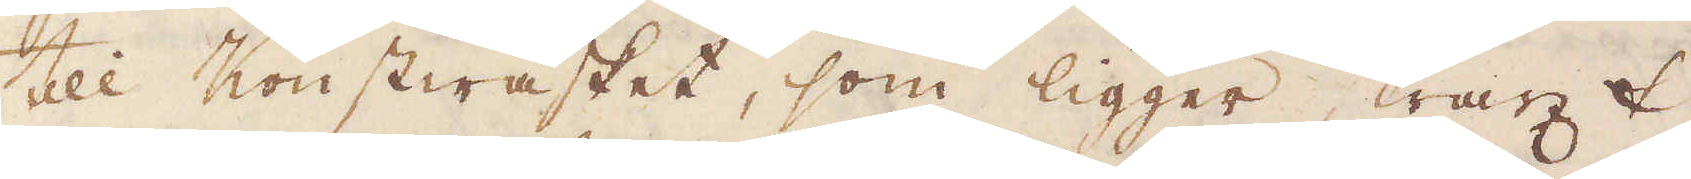till Konstwasket, som ligger straxt
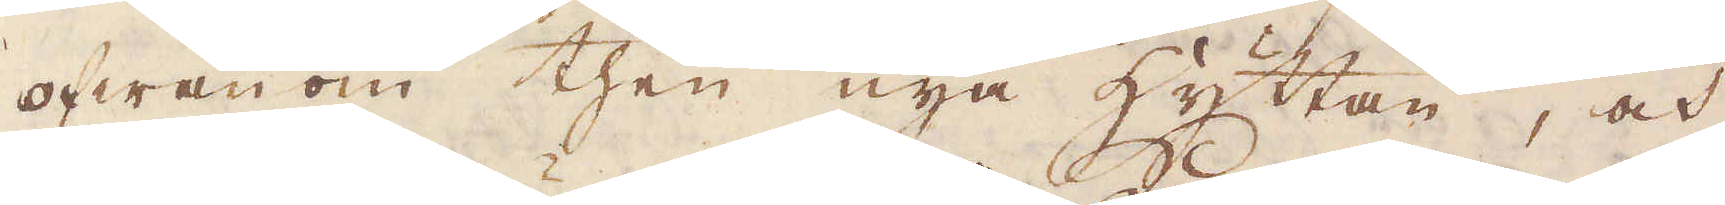ofwan om then nya hyttan, och
